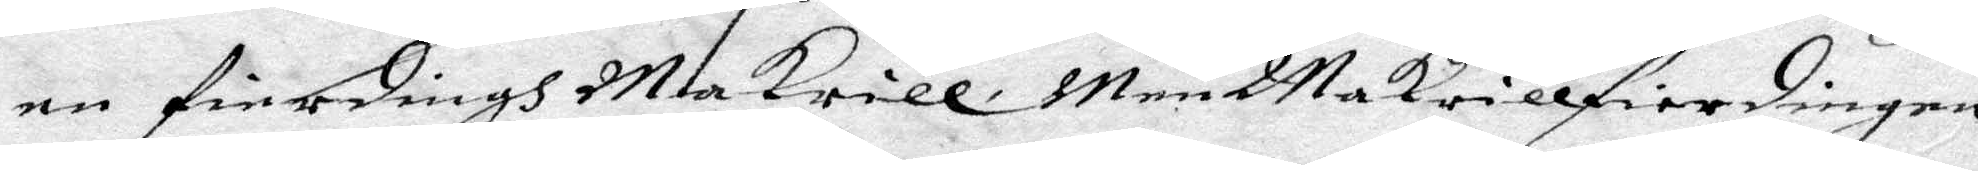en fierdingh Makrill. Men Makrillfierdingen
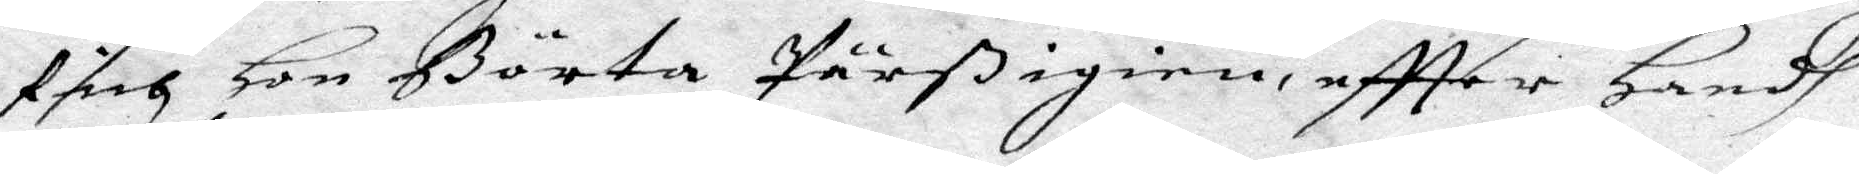fich Hon Börta Pärß igien effter Handh
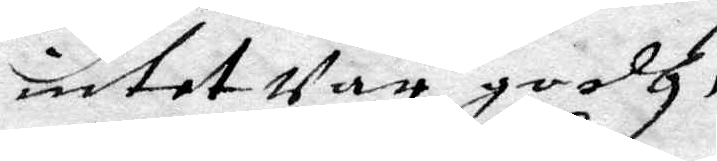intet Var godh.
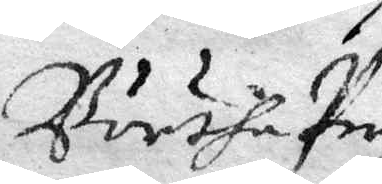Börtha Pers
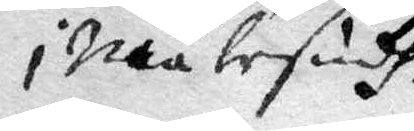i Måålesudh. Andes Peder Matson Hadhe henne udlagt kunna
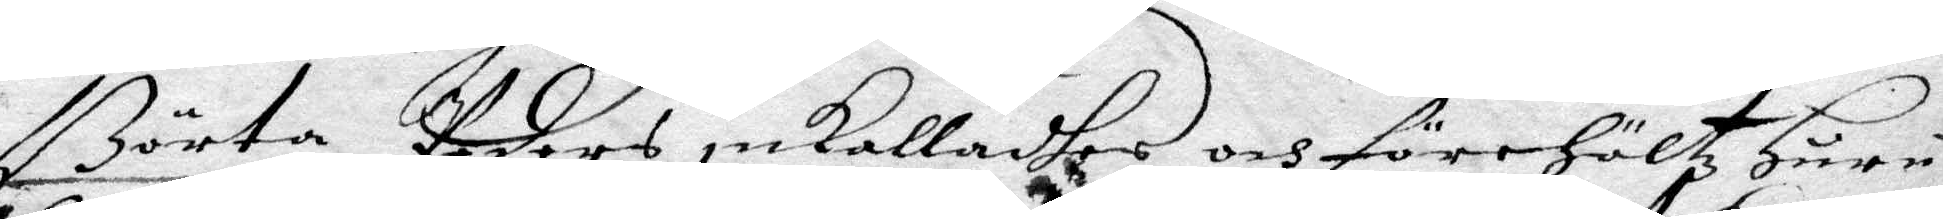Börta Peders inkalladhes och förehöltz Huru¬
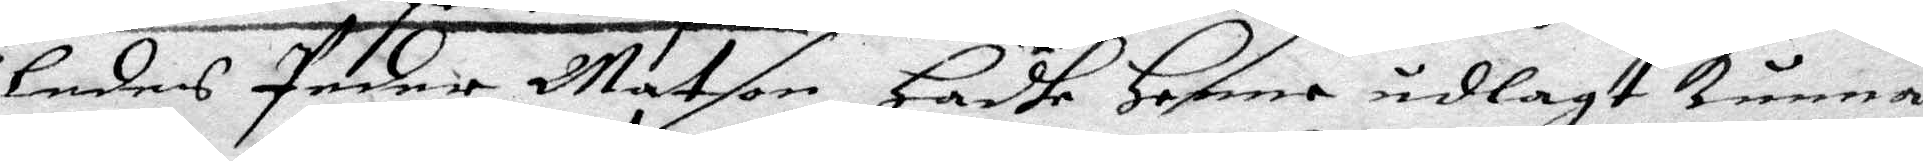ledes Peder Matson Hadhe Henne udlagt kunna
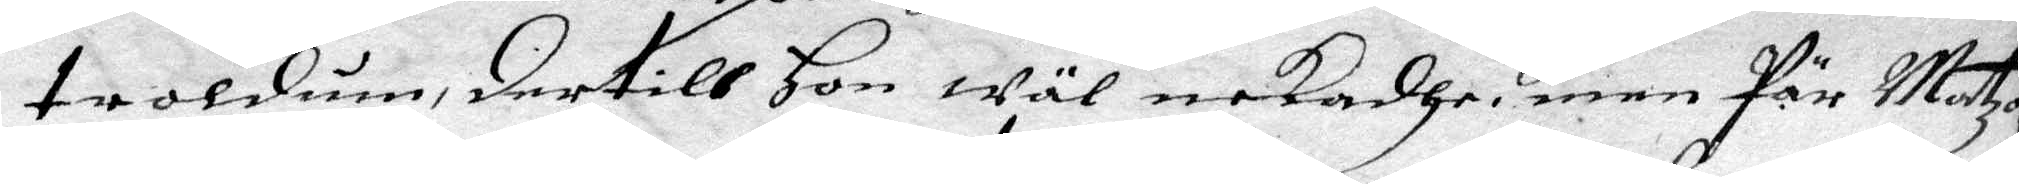troldum, dertill Hon wäl nekadhe; men Pär Matzon
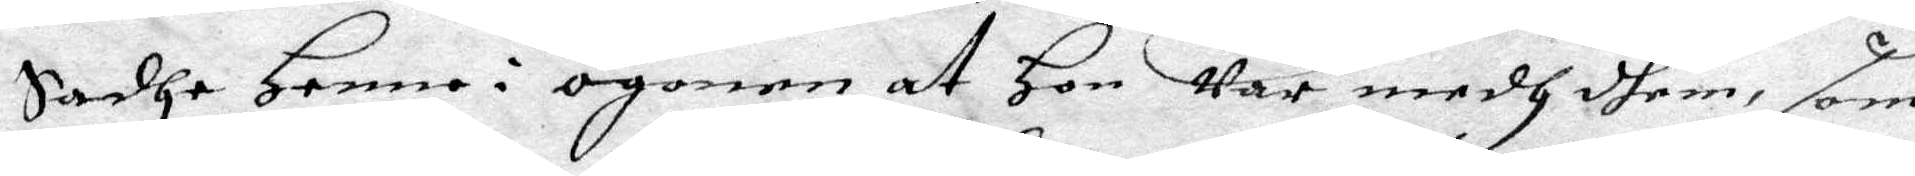Sadhe henne i ögonen at Hon war medh dhem, som
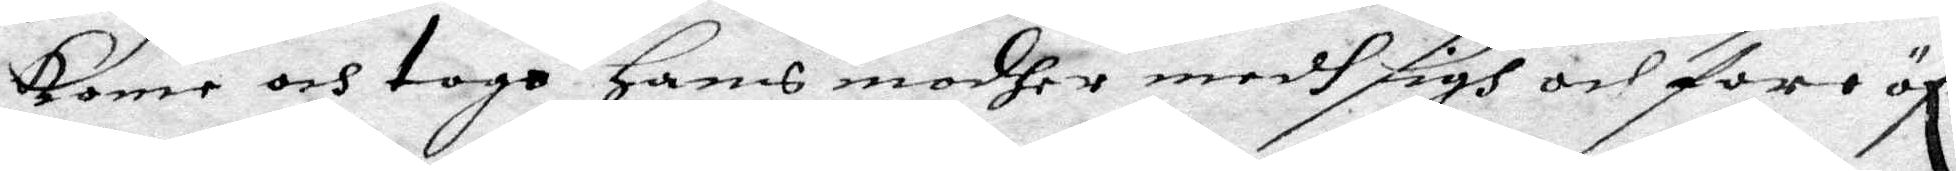kome och togo hans modher medh sigh och foro öf r
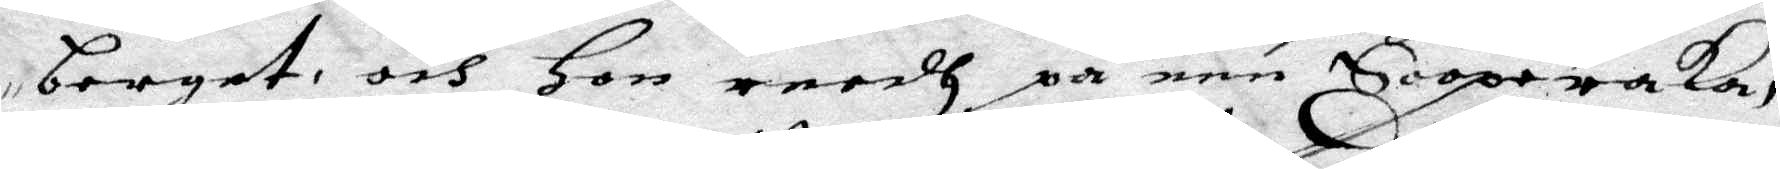berget, och Hon redh på een Sooperaka,
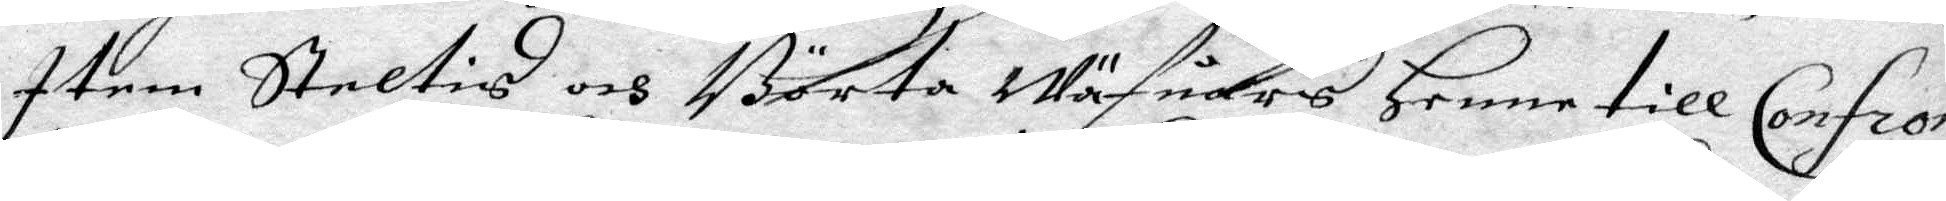Item Steltis och Börta wäfuares Henne till Confron¬
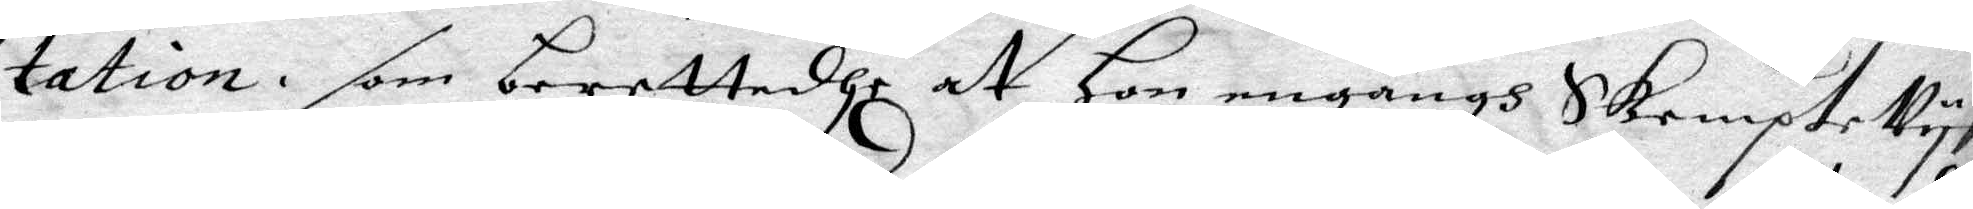tation, som berettadhe at Hon engångh Skempte Vys
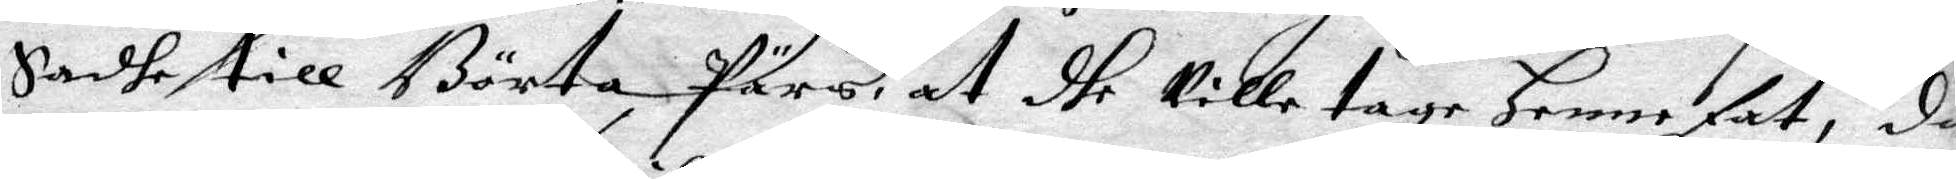Sadhe till Börta Pärs at dhe Ville tage Henne fat, då
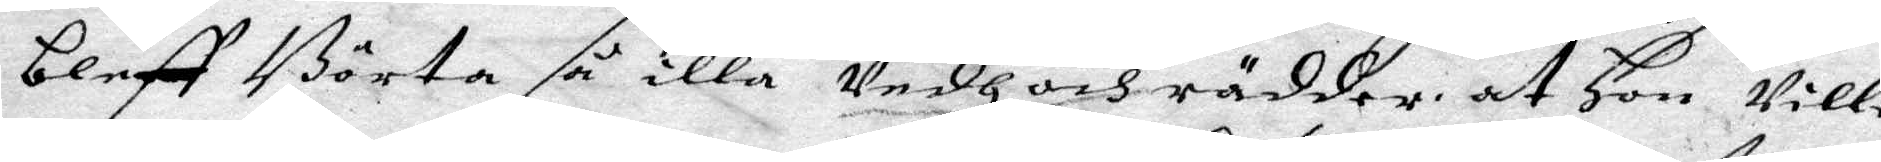bleff Börta så illa Vedh och rädder, at Hon wille
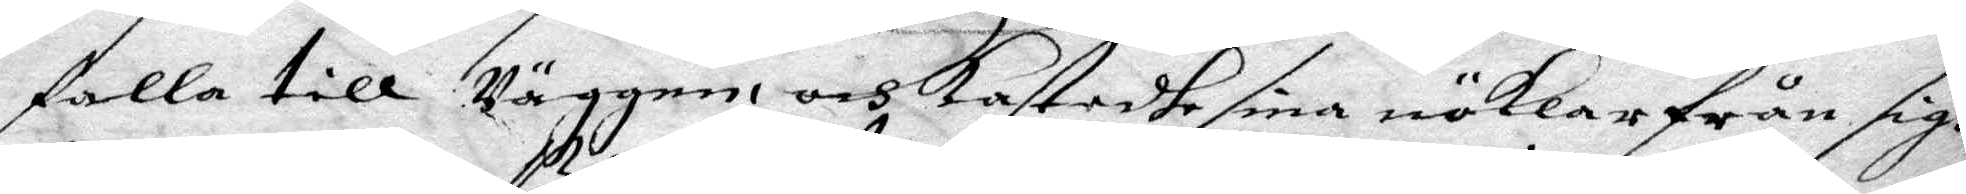falla till Väggen och kastadhe sina näklar från sigh
